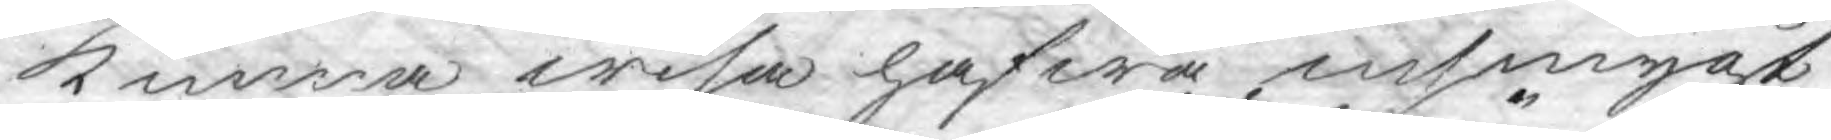kunna wisa hafwa insmygt
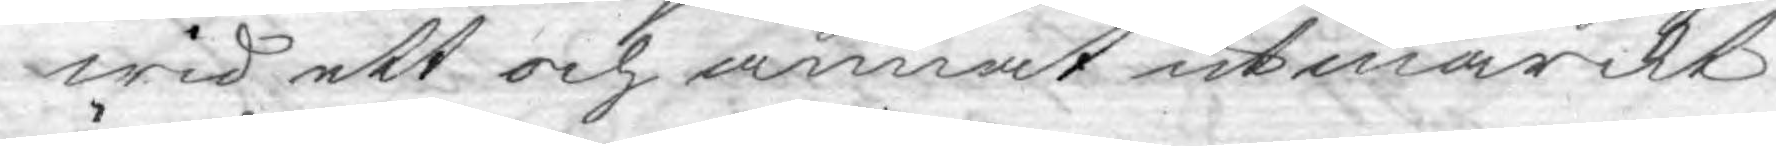wid ett och annat utmärckt
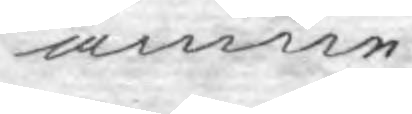ämne.
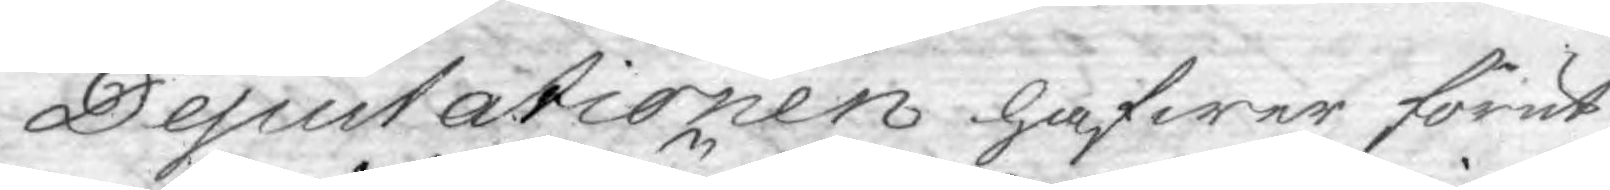Deputationen hafwer förut
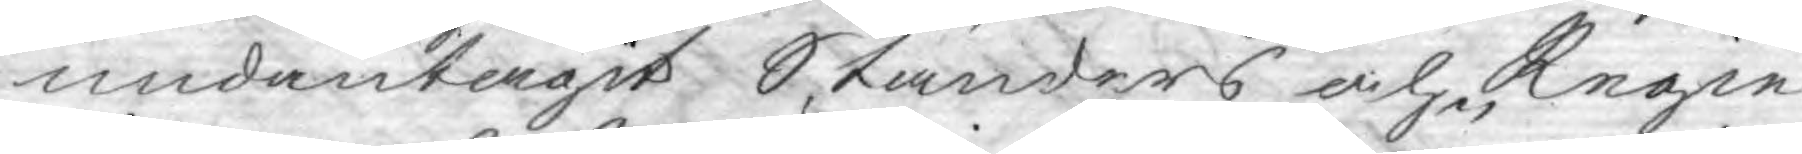undantagit Ständers och Regie¬
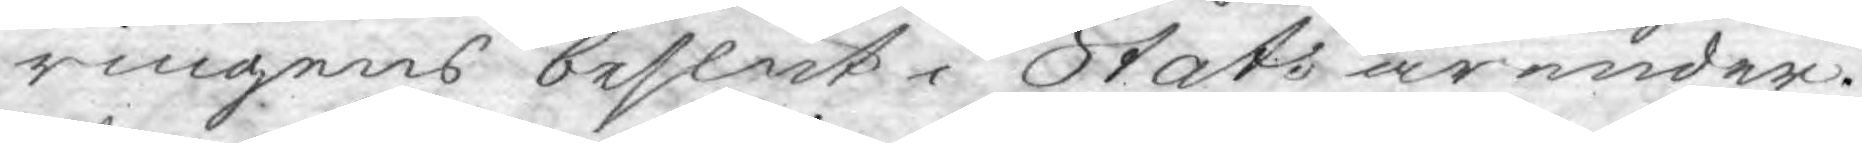ringens beslut i Stats ärender.
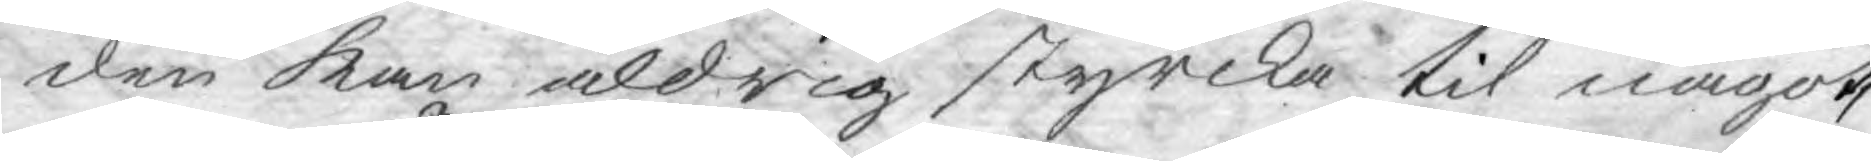den kan aldrig styrcka til något,
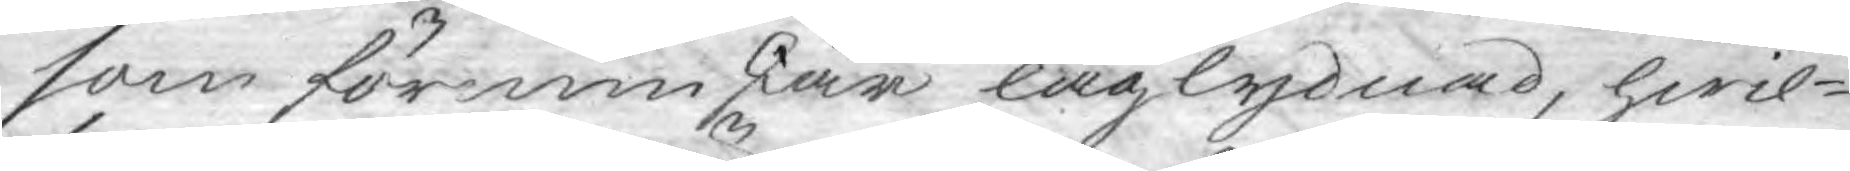som förminskar laglydnad, hwil¬
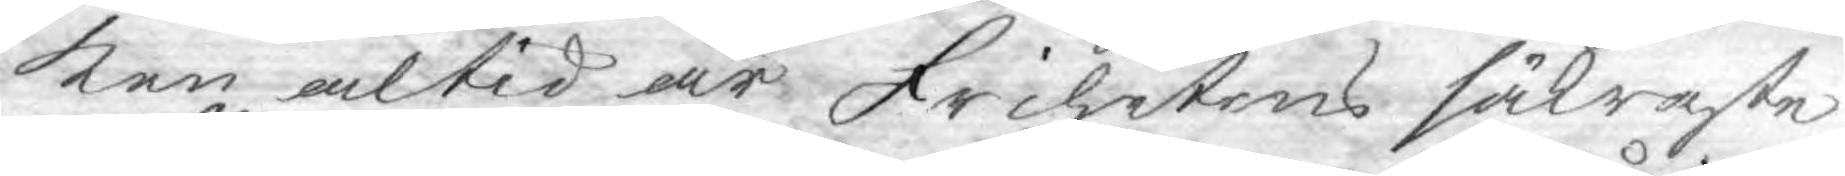ken altid är Frihetens säkraste
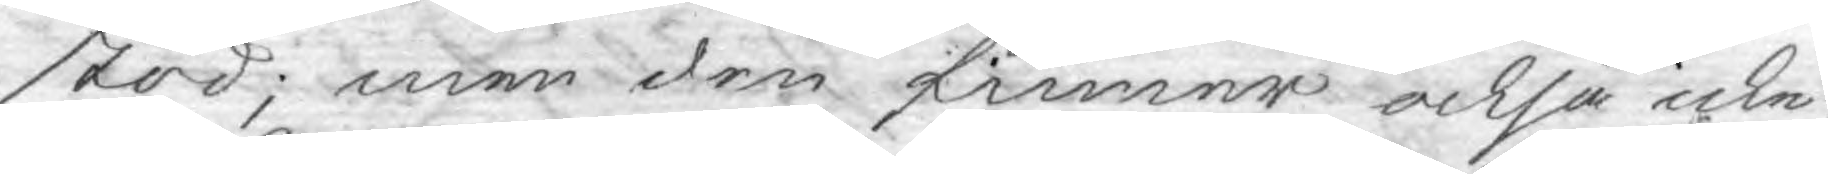stöd; men den finner också icke,
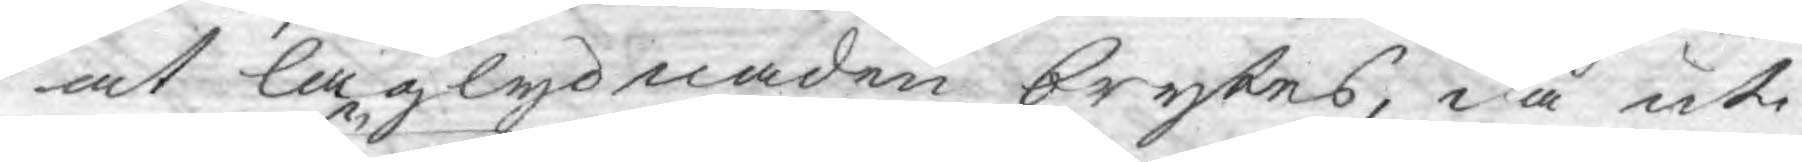at laglydnaden brytes, då uti
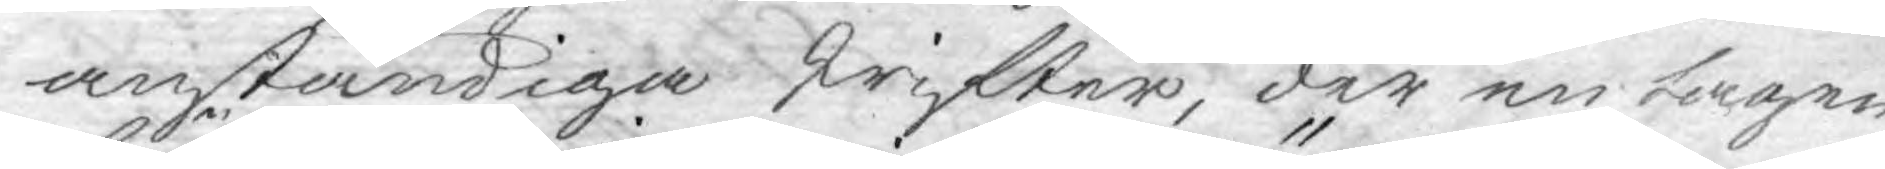anständiga skrifter, der en tagen
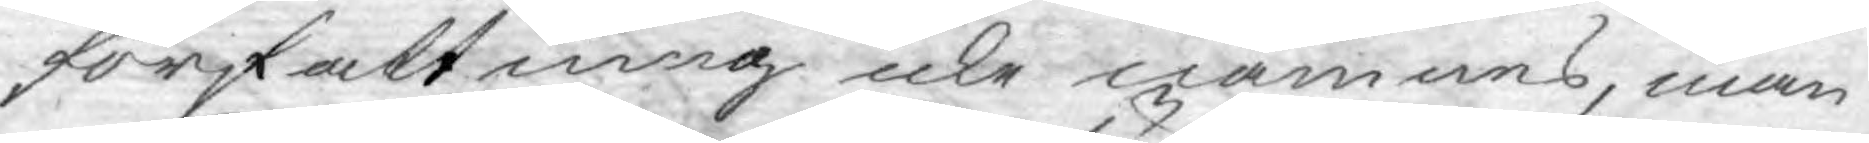författning icke nämnes, man
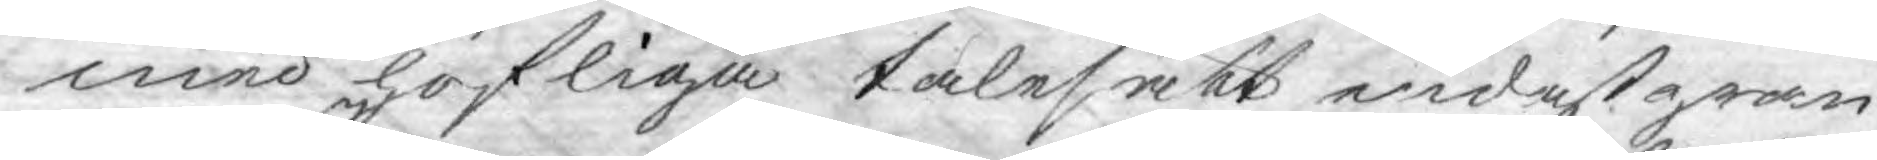med höfliga talesätt endast gran¬
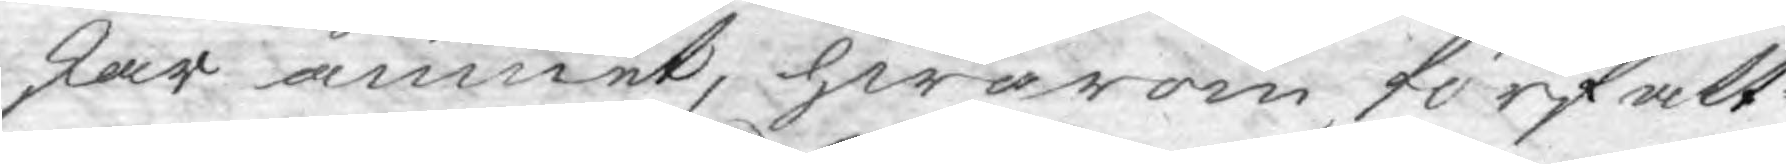skar ämnet, hwarom författ¬
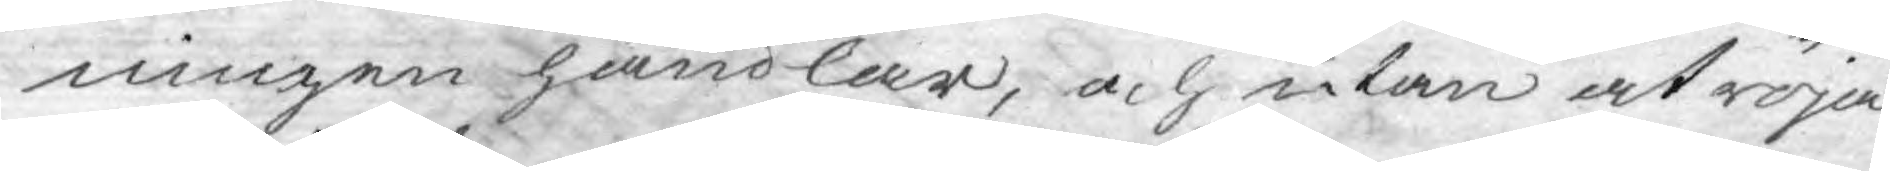ningen handlar, och utan at röja
